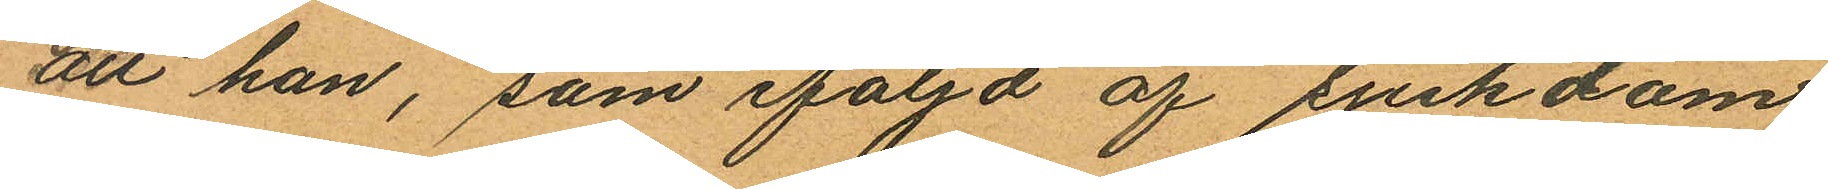att han, som följd af sjukdom
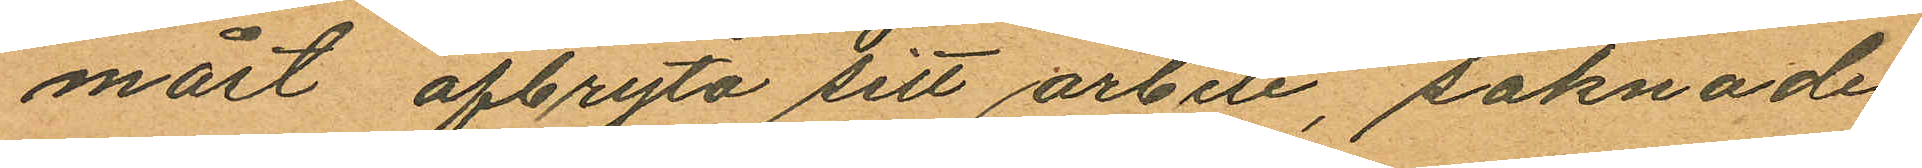måst afbryta sitt arbete, saknade
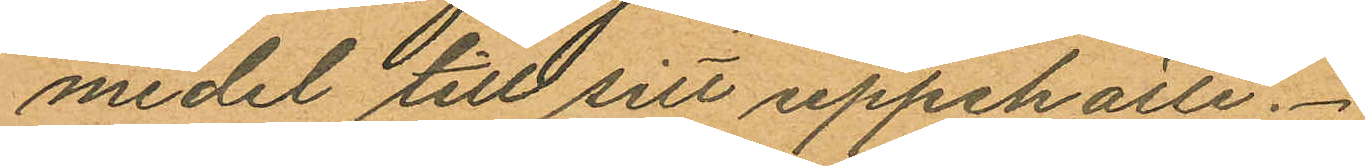medel till sitt uppehälle.
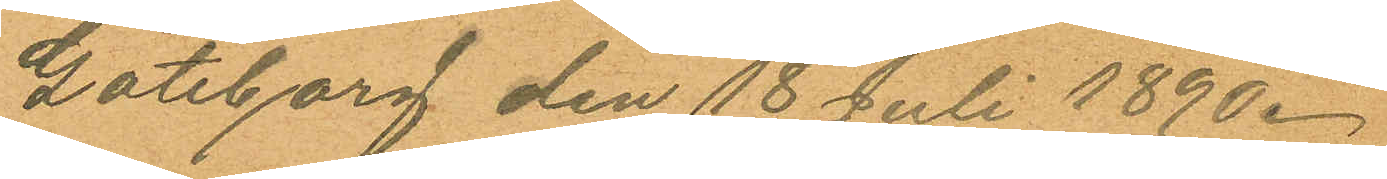Göteborg den 18 Juli 1890.
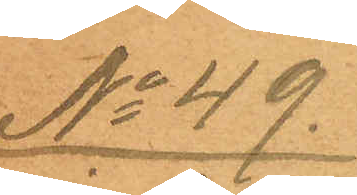No 49.
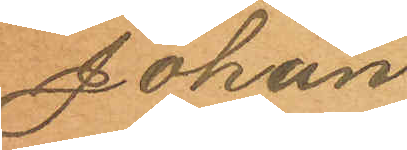Johan
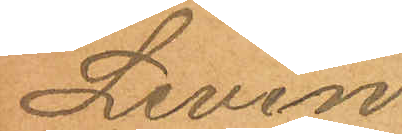Levin
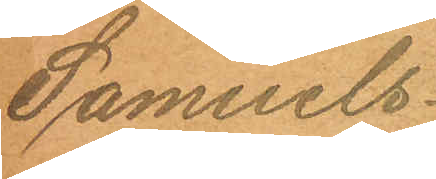Samuels¬
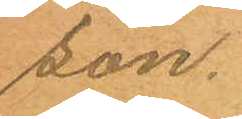son.
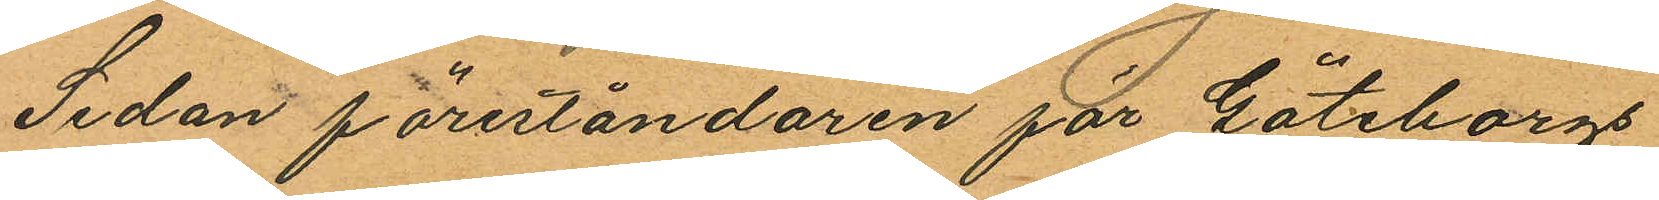Sedan föreståndaren för Göteborgs
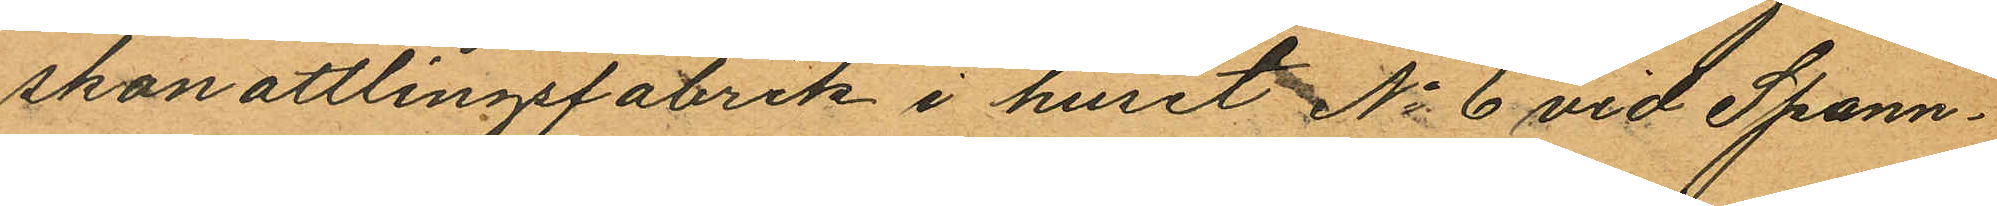skonattlingsfabrik i huset No 6 vid Spann¬
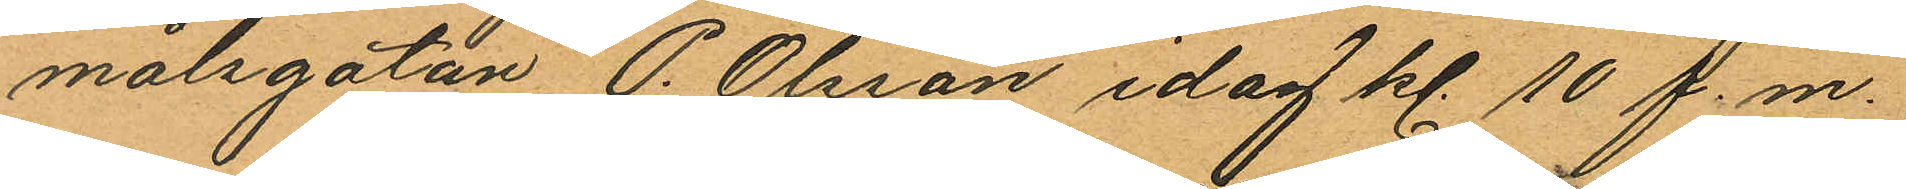målsgatan P. Olsson idag kl. 10 f.m.
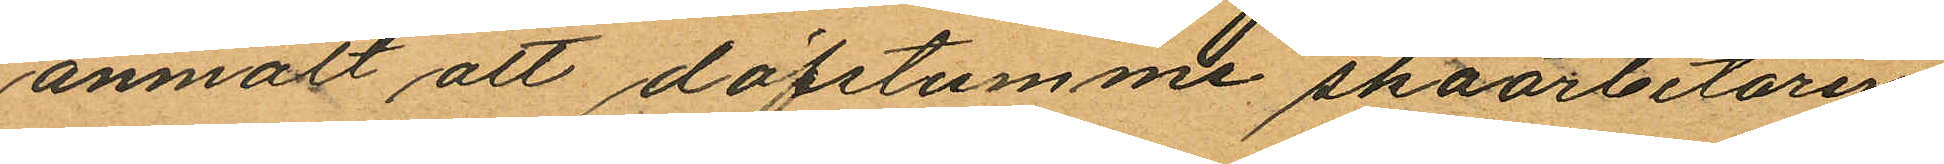anmält att döfstumme skoarbetaren
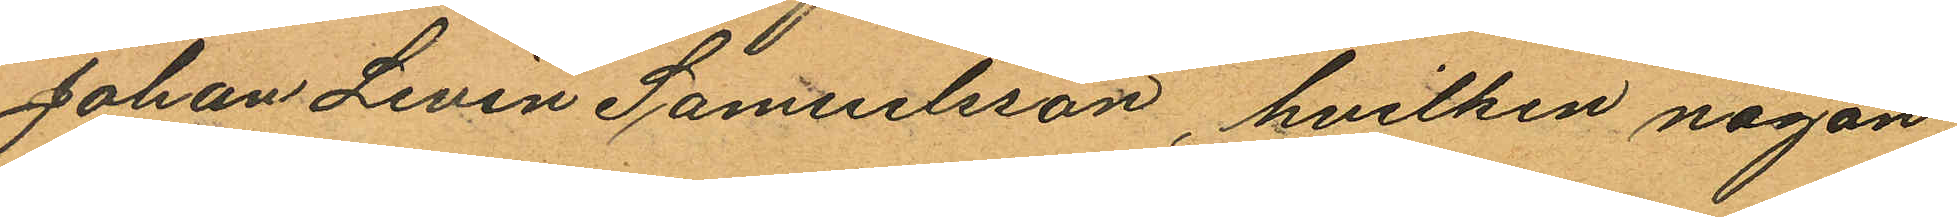Johan Levin Samuelsson, hvilken någon
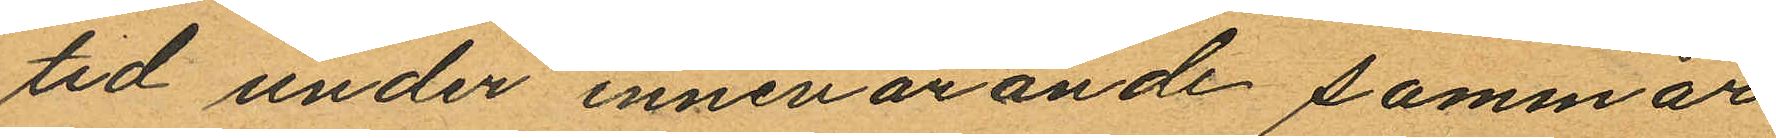tid under innevarande sommar
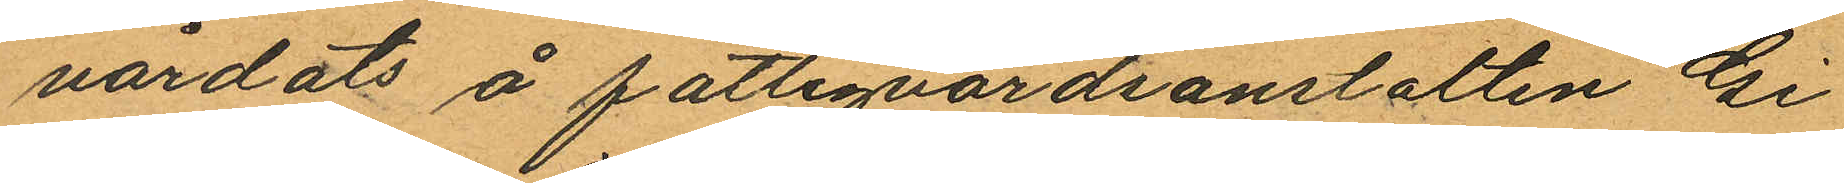vårdats å fattigvårdsanstalten Gi¬
